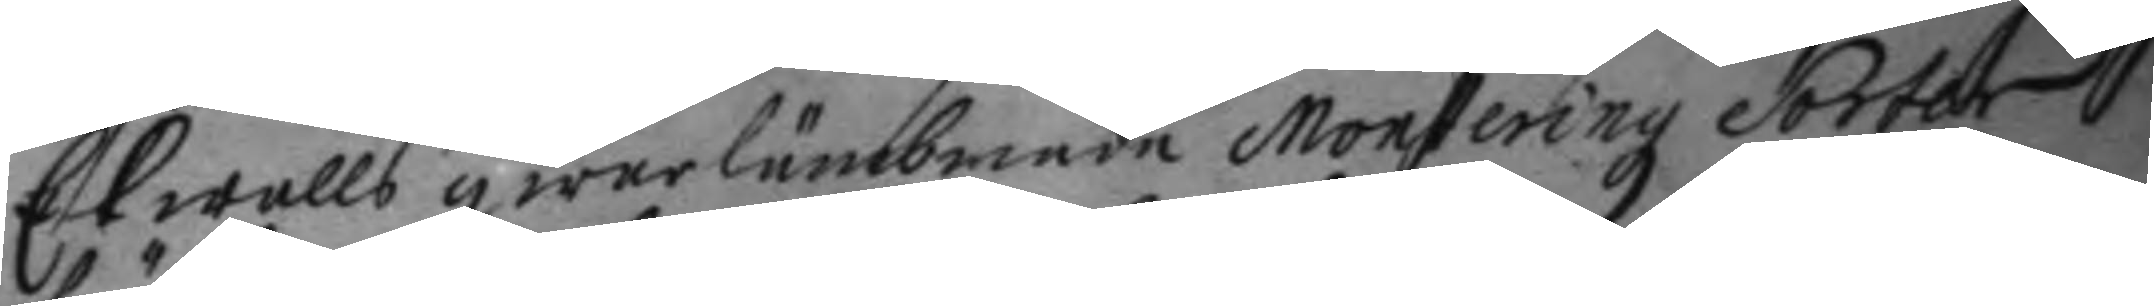Ekwalls qwarlämbnade Monteringz Sorter
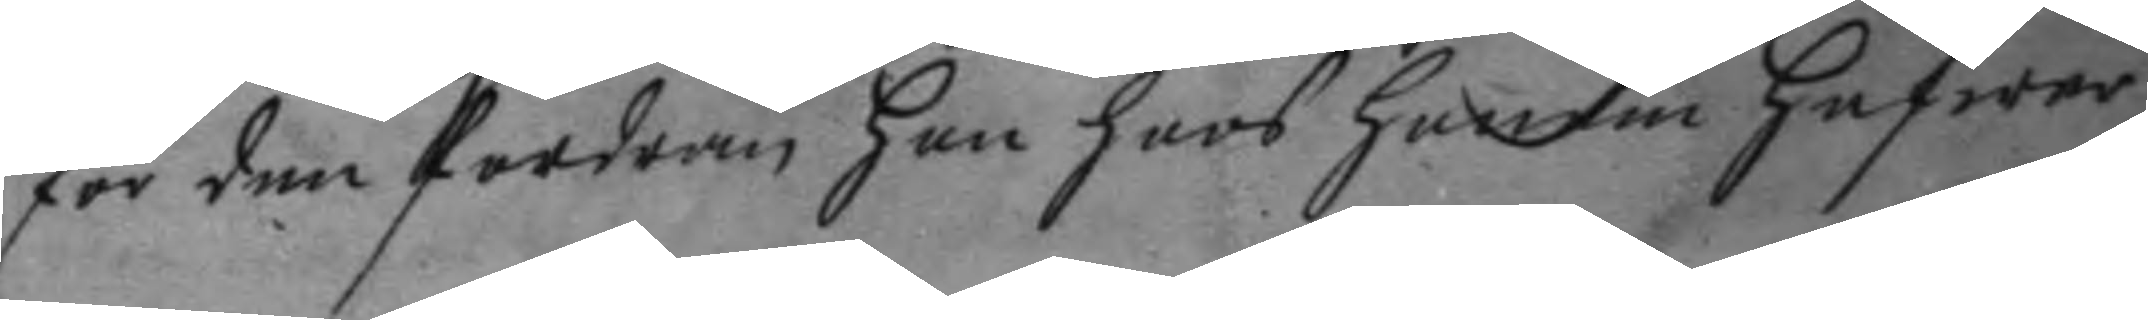för den fordran hon hoos honom hafwer
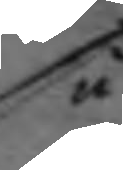så
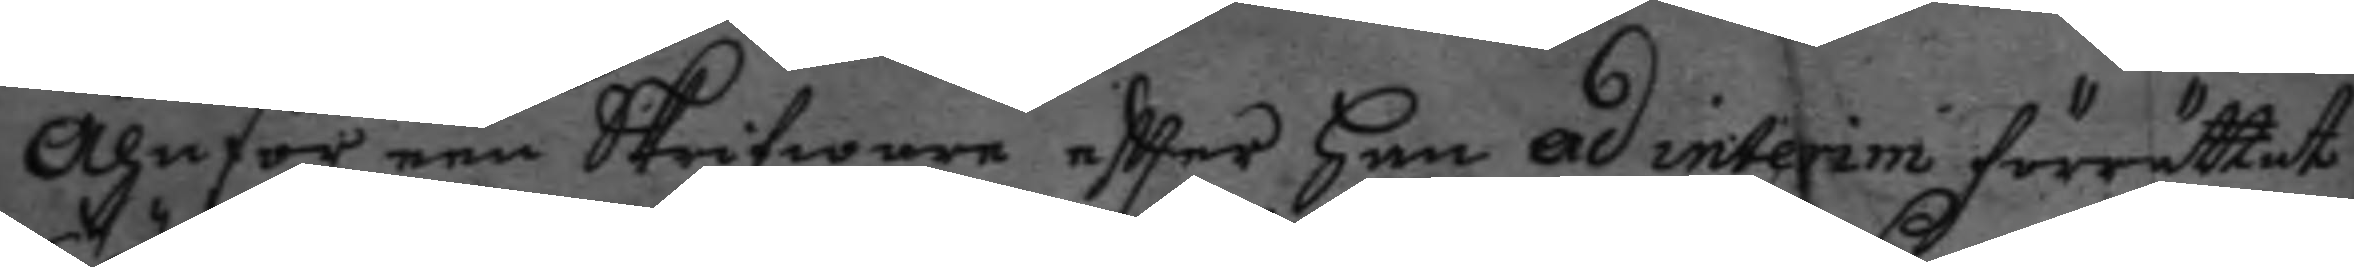Ähnför een Skrifware eftter han ad interim förrättat
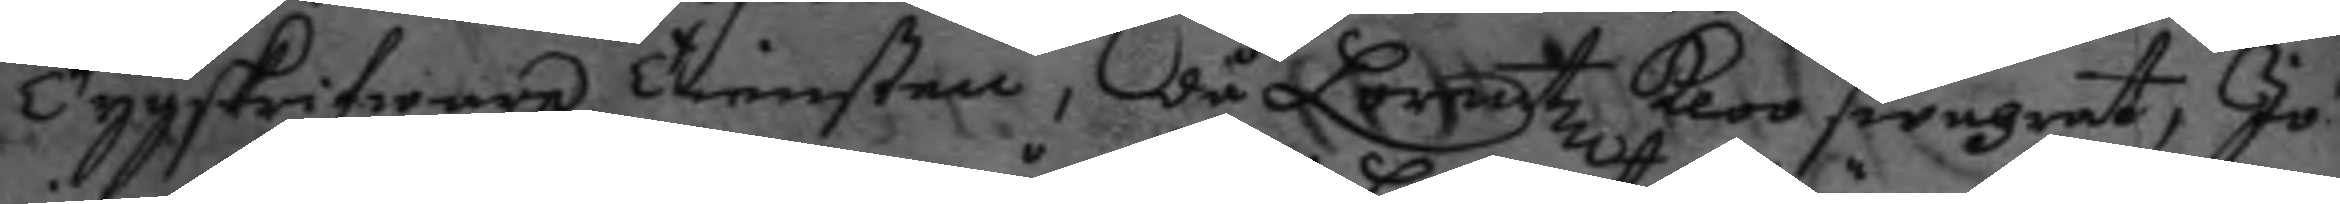Tygskrifware tiensten, då Loretz kloo swahrat, Jo
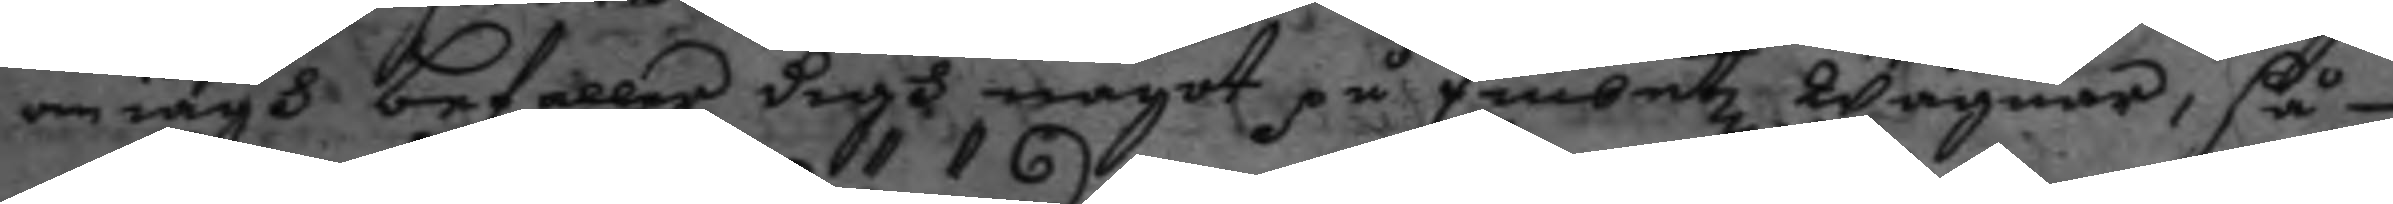om iagh befaller digh något på Embetz Wägnar, så
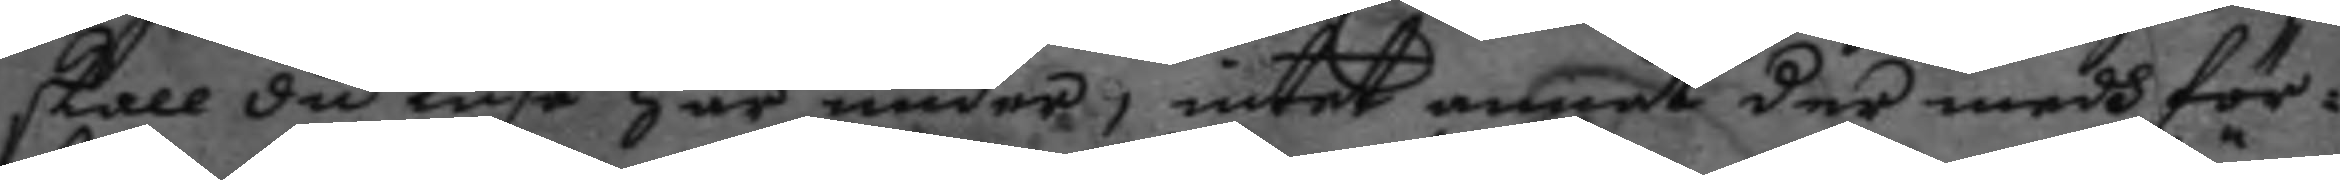skall du kuse här under, intet annat der medh för¬
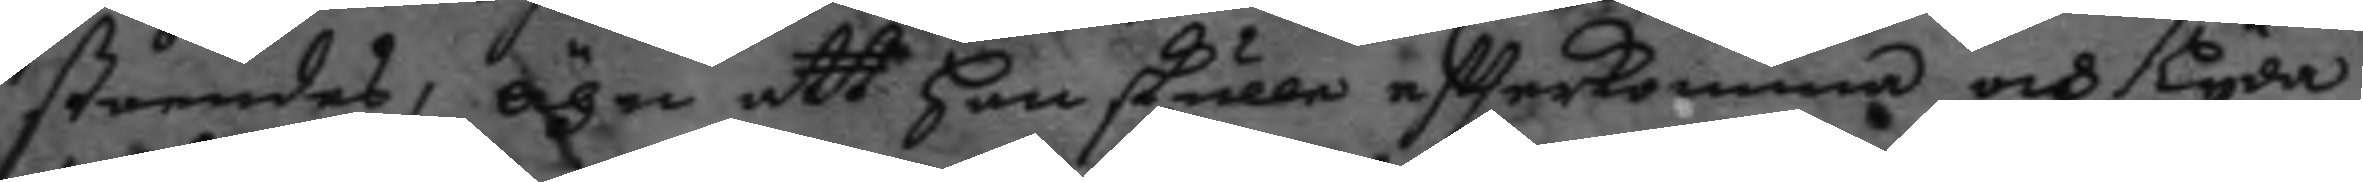ståendes, ähn att han skulle eftterkomma och lyda
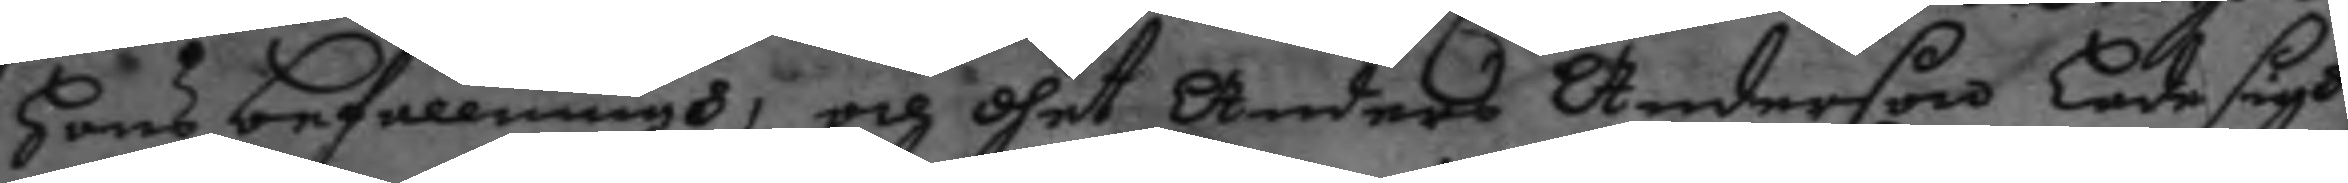hans befallningh, och dhet Anders Anderson lade sigh
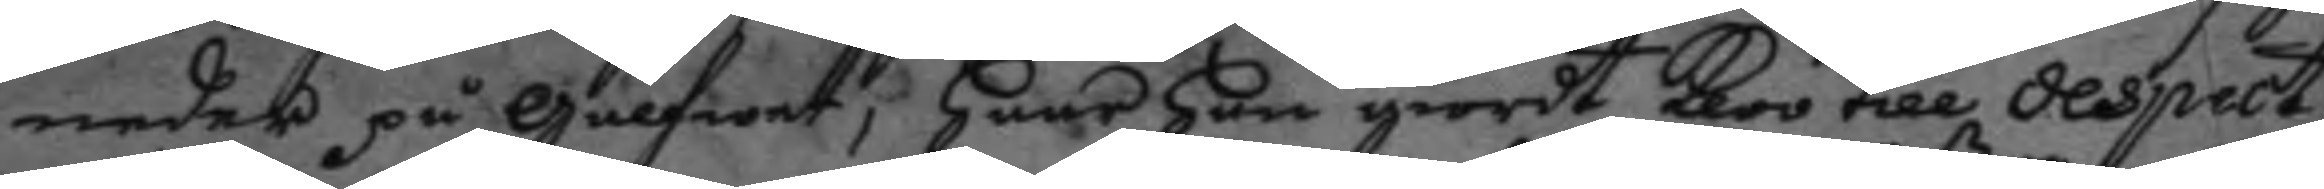neder på gålfwet, haar han giordt kloo till despect
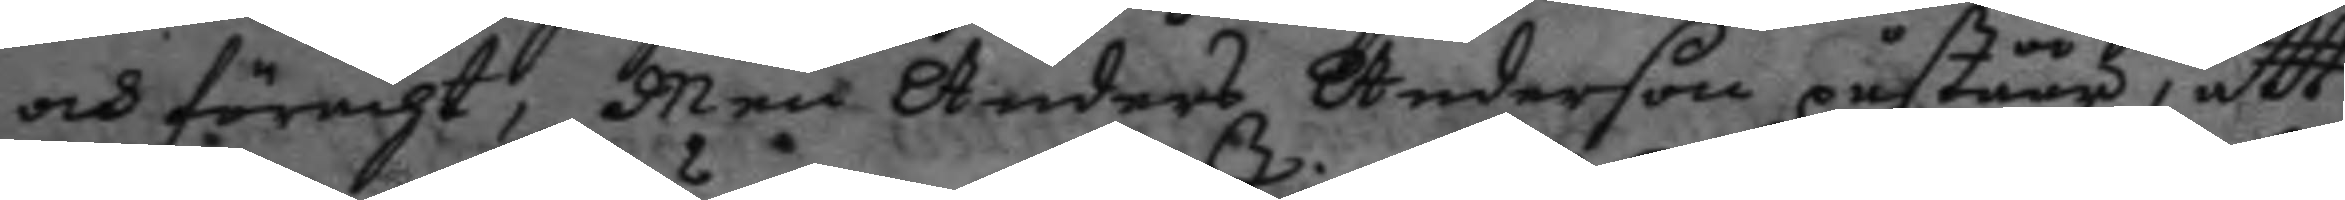och föracht, Men Anders Anderson påståår, att
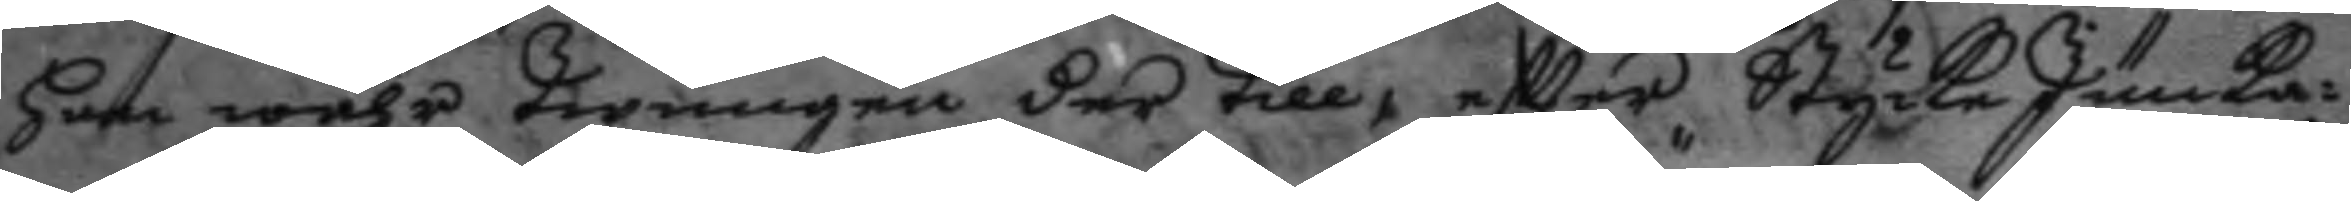han wahr twrungen der till, eftter Stycke Junka¬
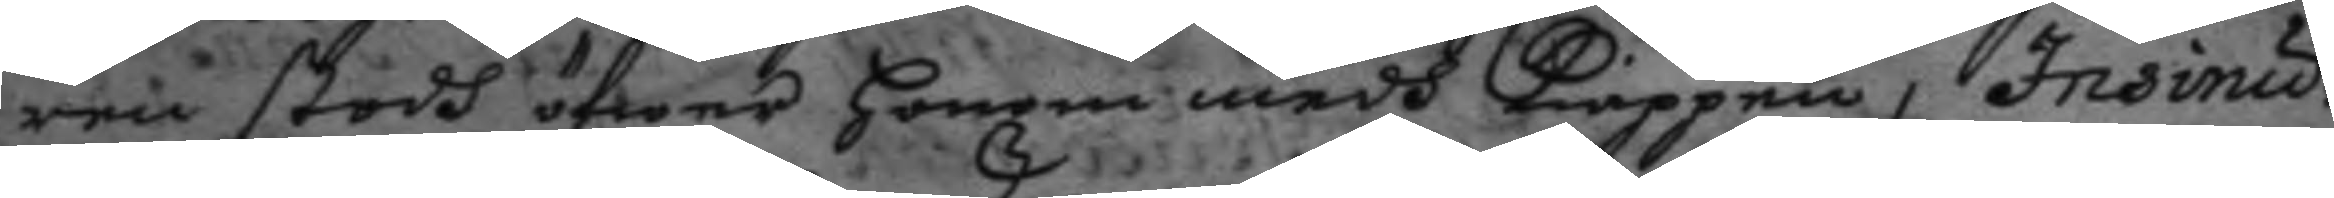ren stodh öfwer honom medh kiäppen, Insinu¬
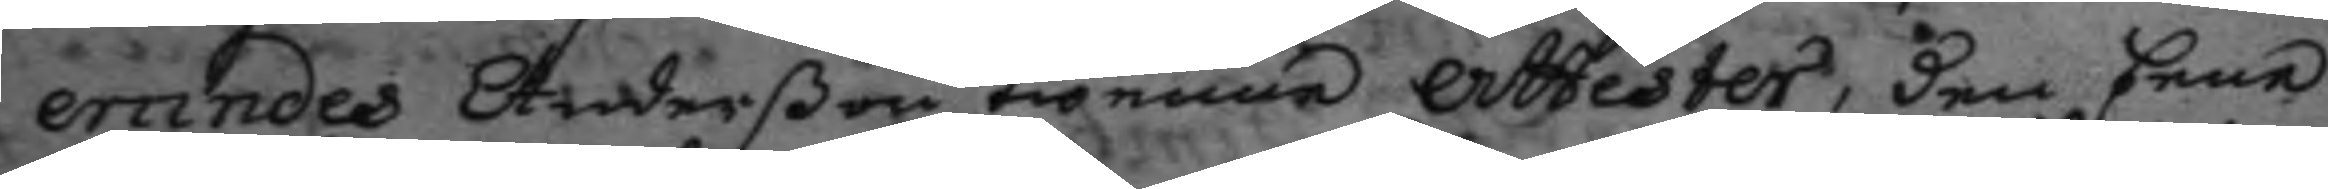erandes Anderßon twenne attester, den Eene
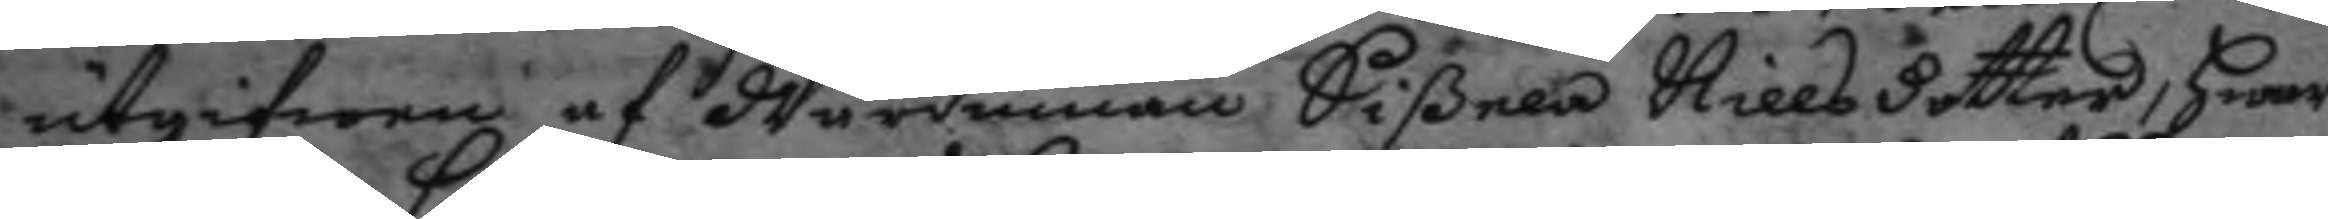utgifnen af Wärdinnan Sißela Nillsdotter, hwar¬
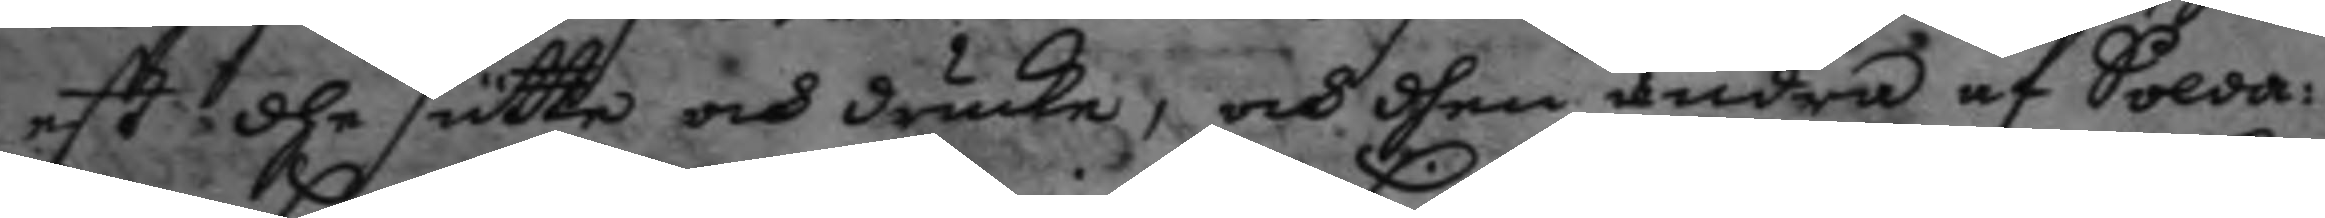est dhe sutte och drucke, och dhen andra af Solda¬
